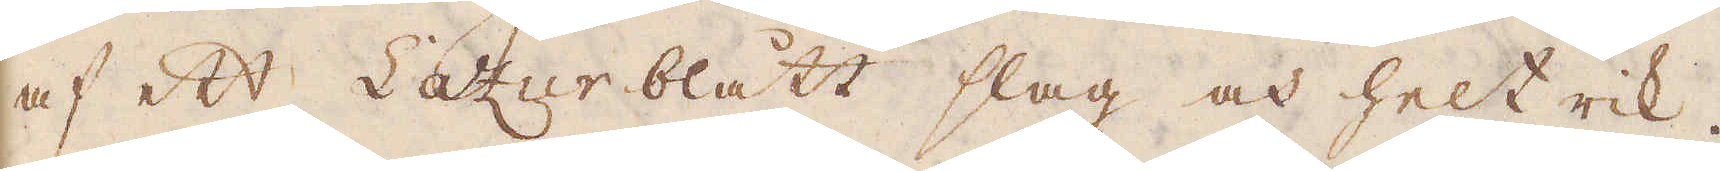af ett Lazur blått slag och helt rik.
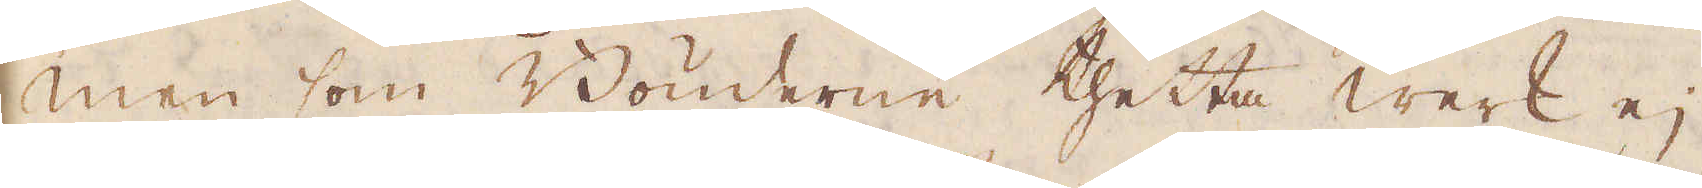Men som Bönderne thetta werk ej
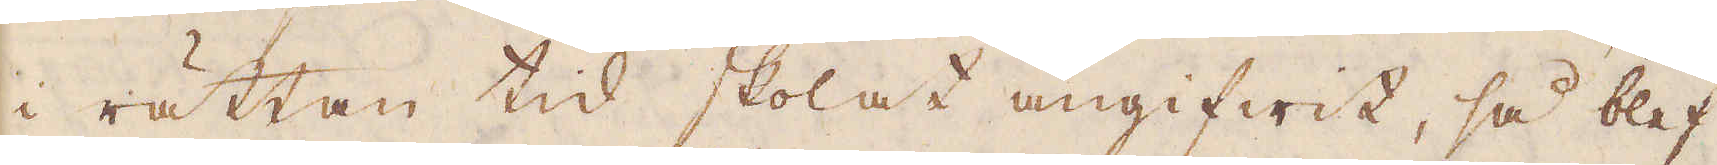i rättan tid skolat angifwit, så blef
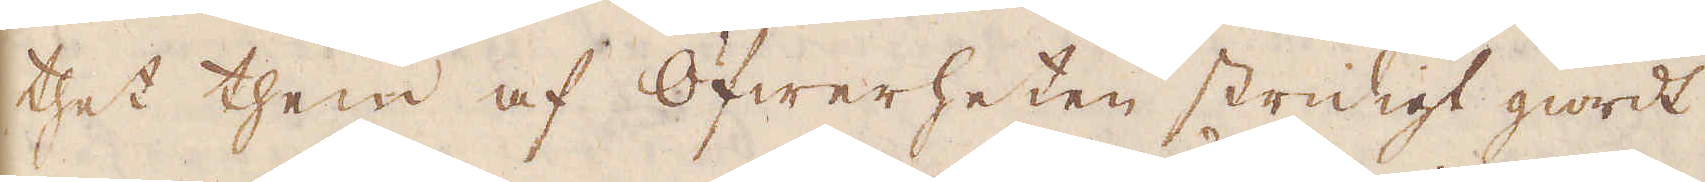thet them af Öfwerheten stridigt giordt
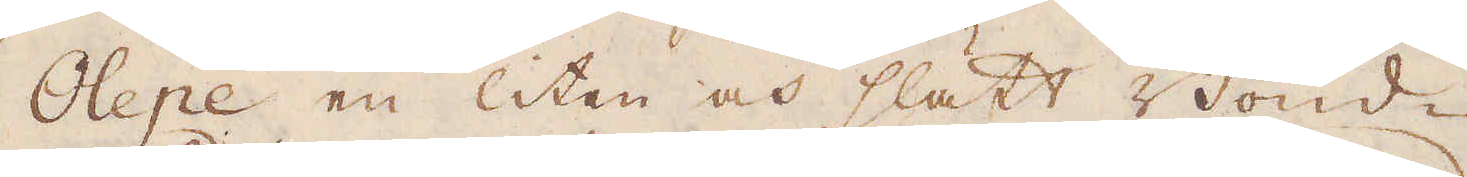Olepe en liten och slätt Bond-
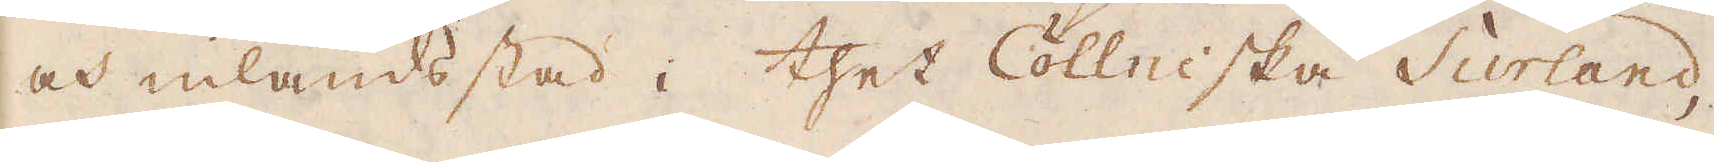och inlandsstad i thet Cöllniska Curland,
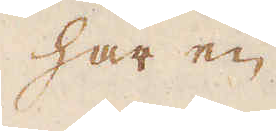har en
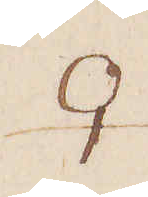♀
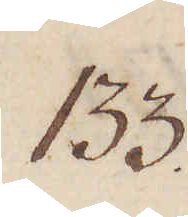133.
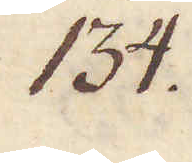134.
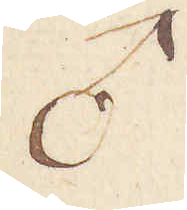♂
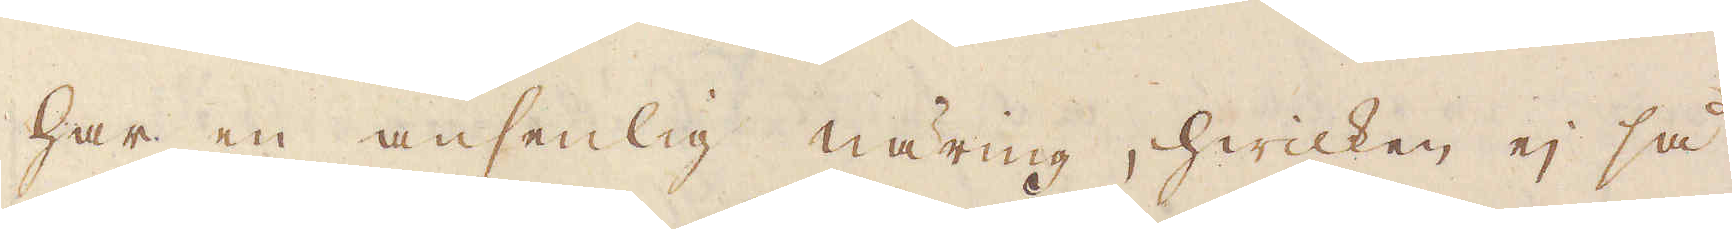har en ansenlig näring, hwilken ej så
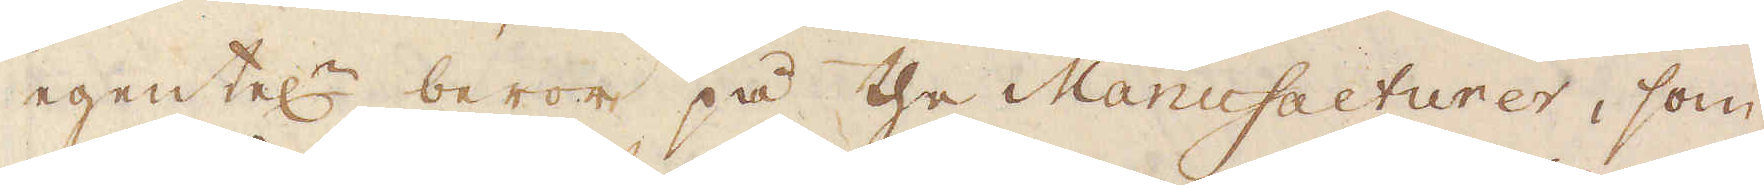egentel:n beror på the Manufacturer, som
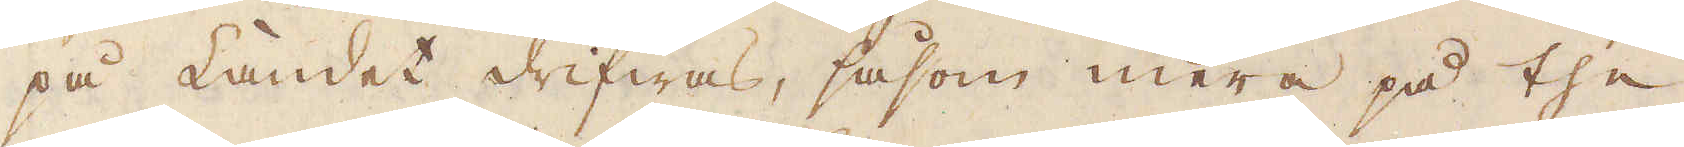på Landet drifwas, såsom mera på the
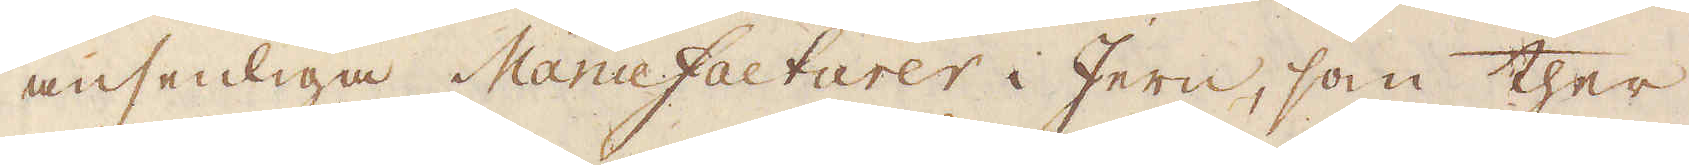ansenliga Manufacturer i Jern, som ther
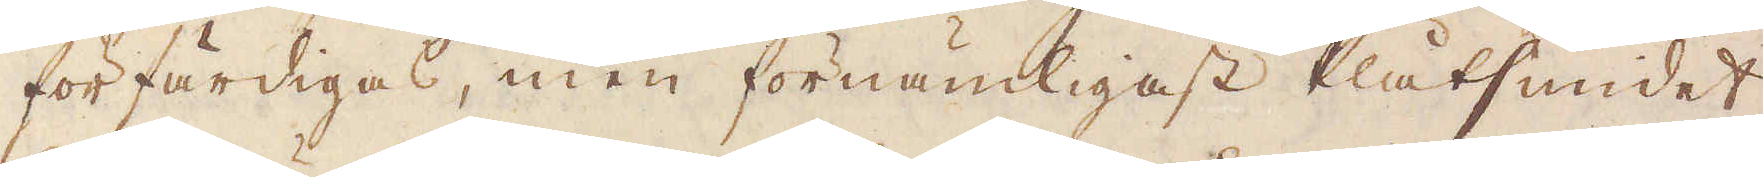förfärdigas, men förnämligast Plåtsmidet,
